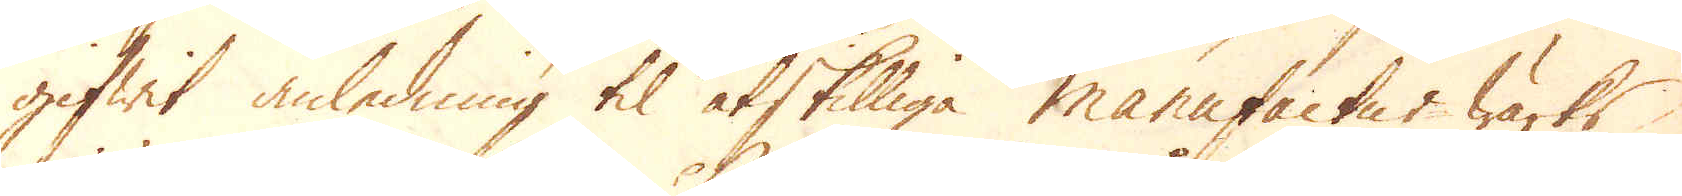gifwit anledning til åtskilliga manufactur wärks
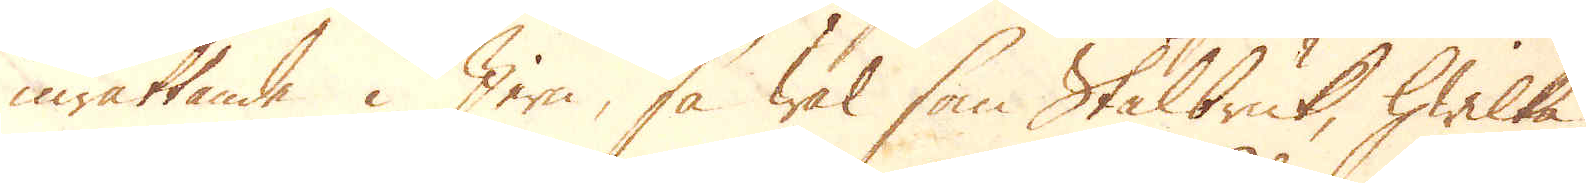inrättande i Jern, så wäl som Stålbruk, hwilka
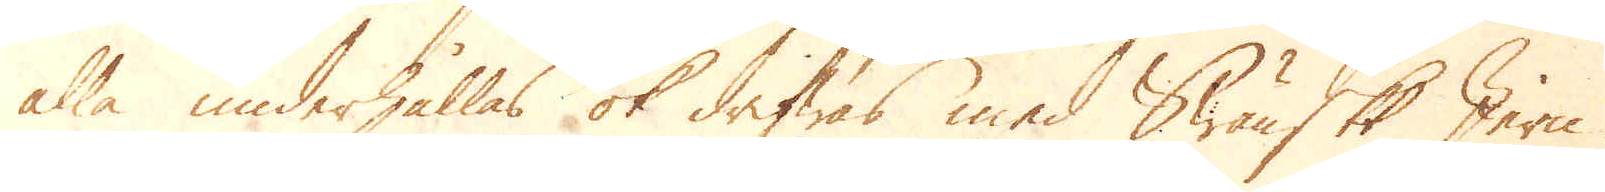alla underhållas ok drifwas med Swänskt Jern.
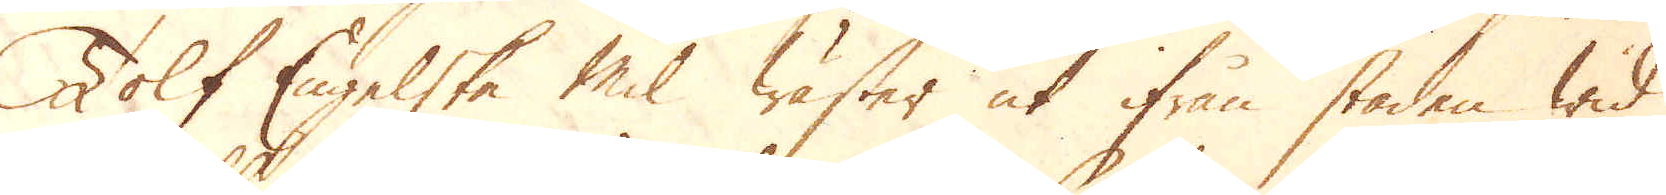Tolf Engelske mil wäster ut ifrån staden wid
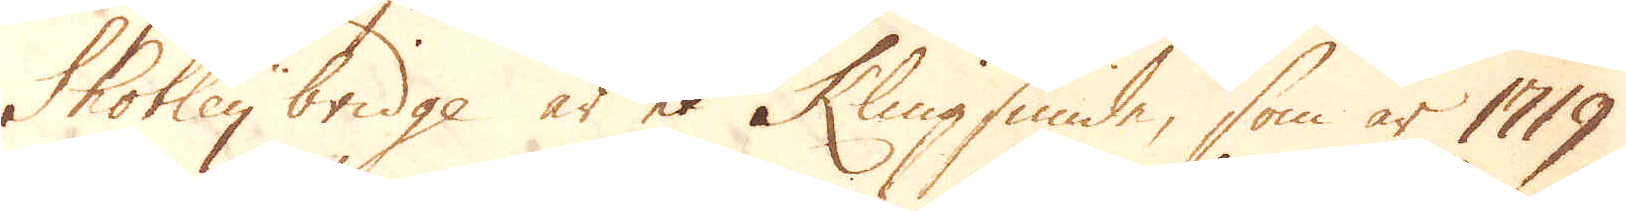Shotley bridge är et Klingsmide, som år 1719
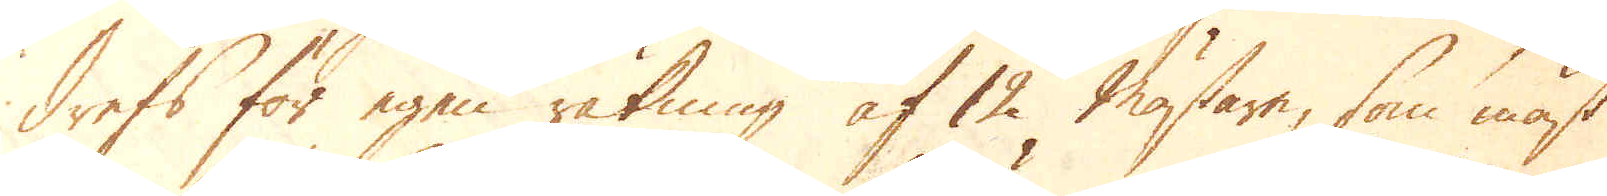drefs för egen räkning af 12 mästare, som mäst
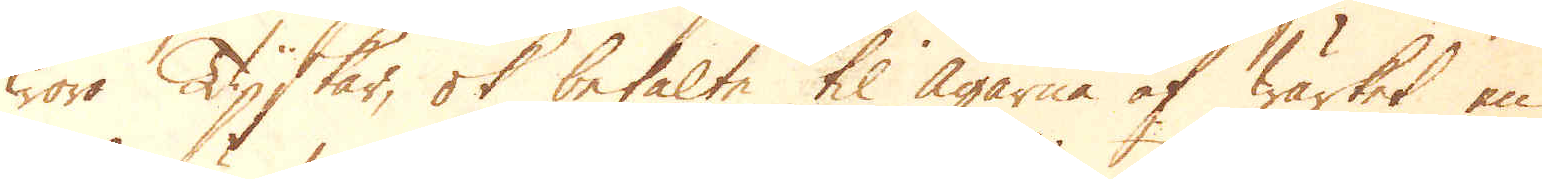wore Tyskar, ok betalte til ägarne af wärket en
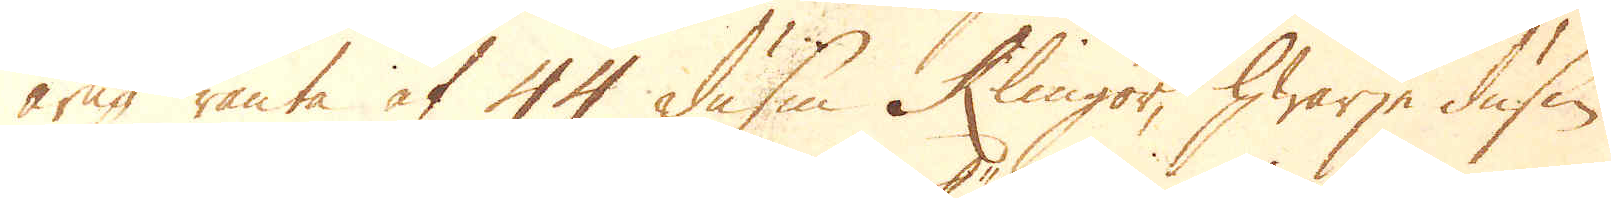årlig ränta af 44 dussin Klingor, hwarje dussin
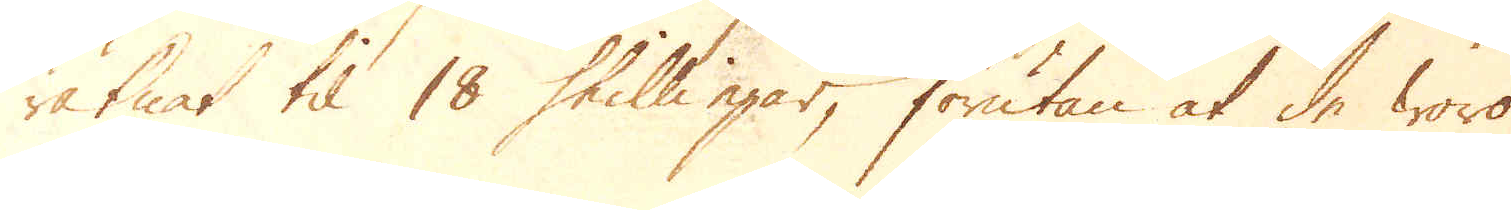räknat til 18 skillingar, förutan at de woro
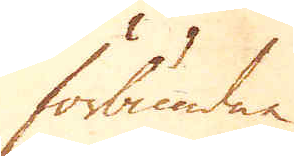förbundne
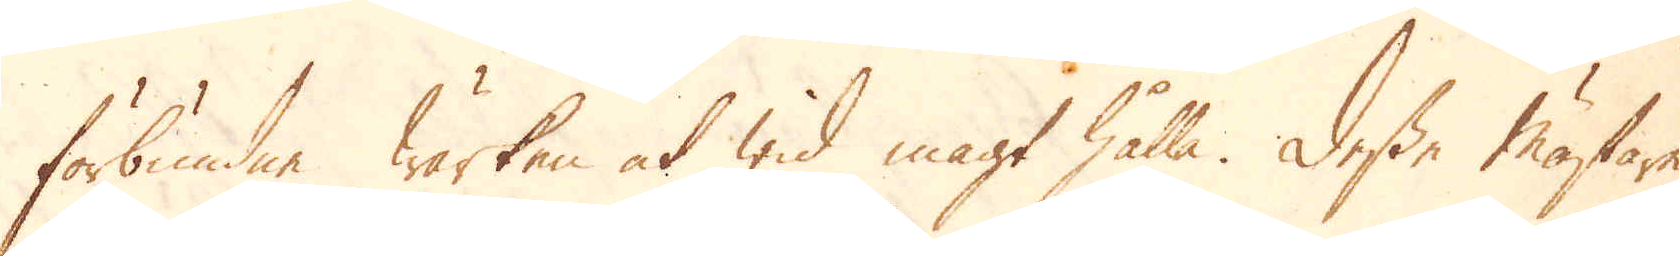förbundne wärken at wid magt hålla. Desse mästare
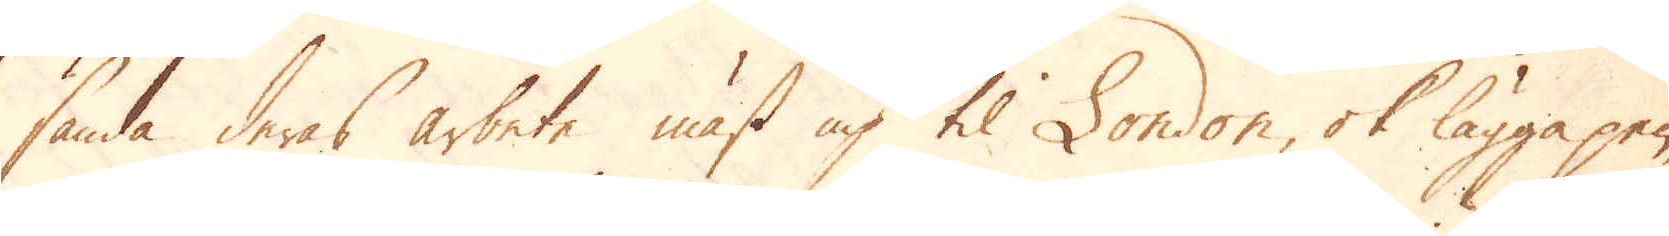sända deras arbete mäst up til London, ok lägga pen-
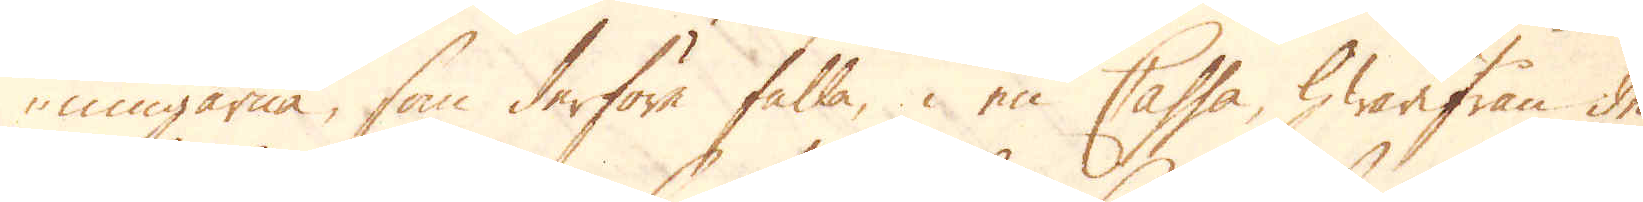ningarne, som derföre falla, i en Cassa, hwrifrån de
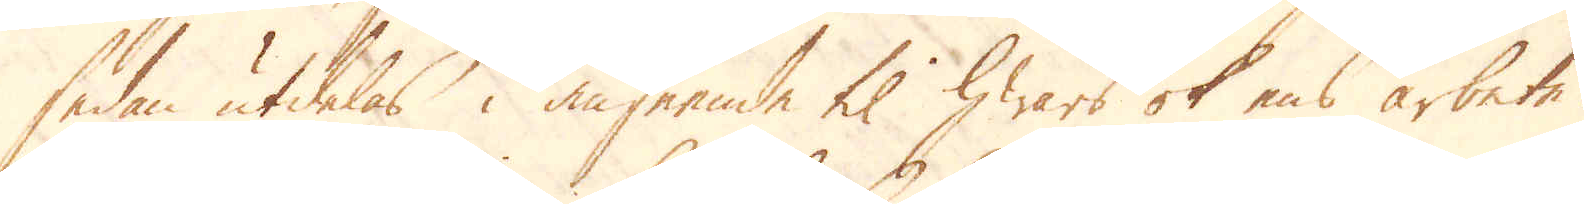sedan utdelas i anseende til hwars ok ens arbete.
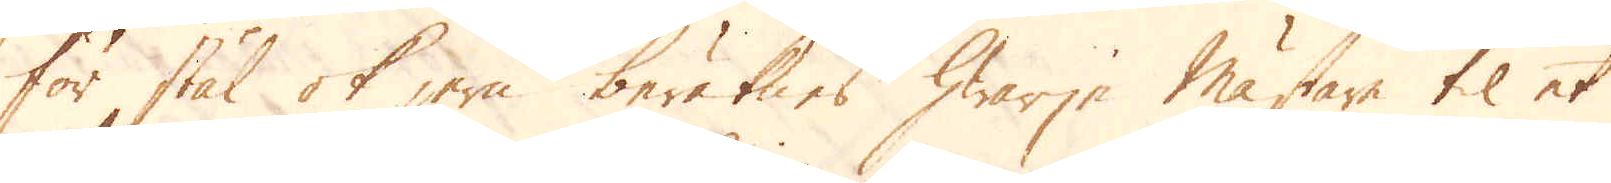För stål ok jern beräknes hwarje mästare til et
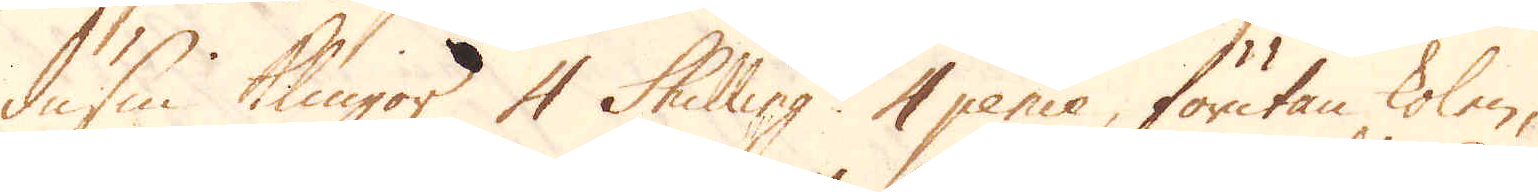dussin klingor 4 Skilling 4 pence, förutan kolen,
